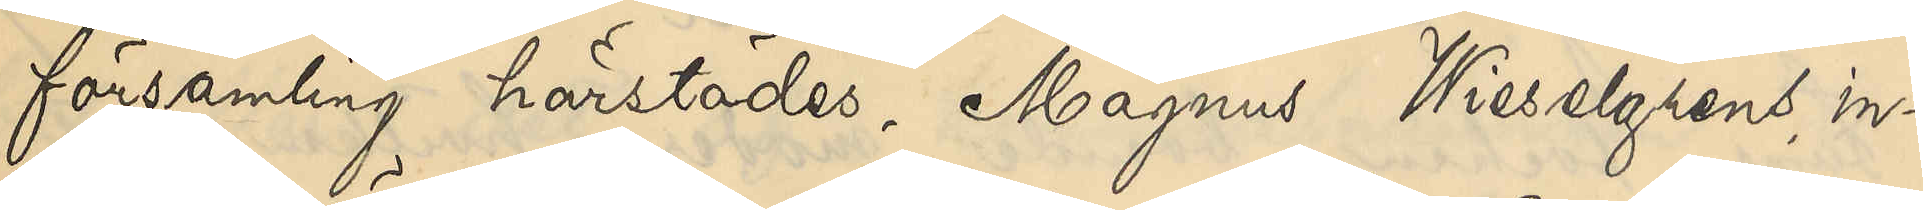församling härstädes, Magnus Wieselgrens in¬
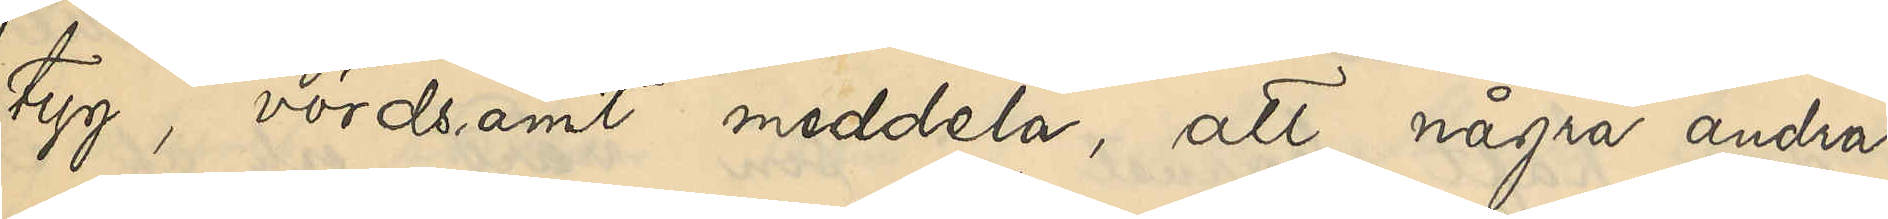tyg, värdsamt meddela, att några andra
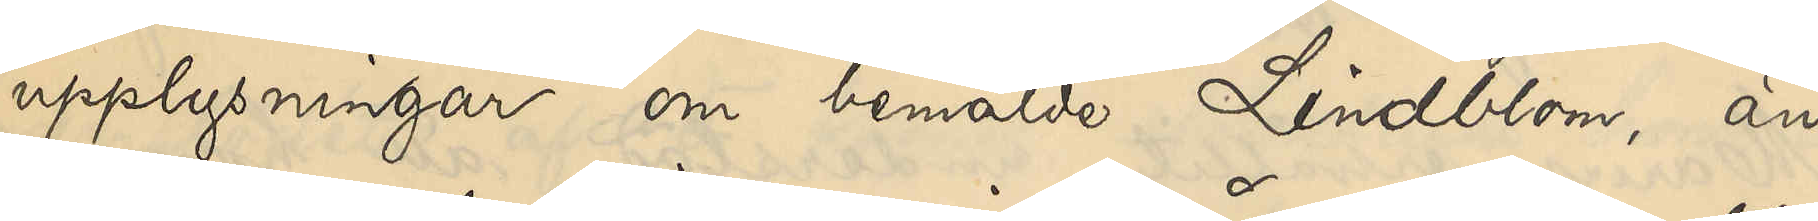upplysningar om bemälde Lindblom, än 
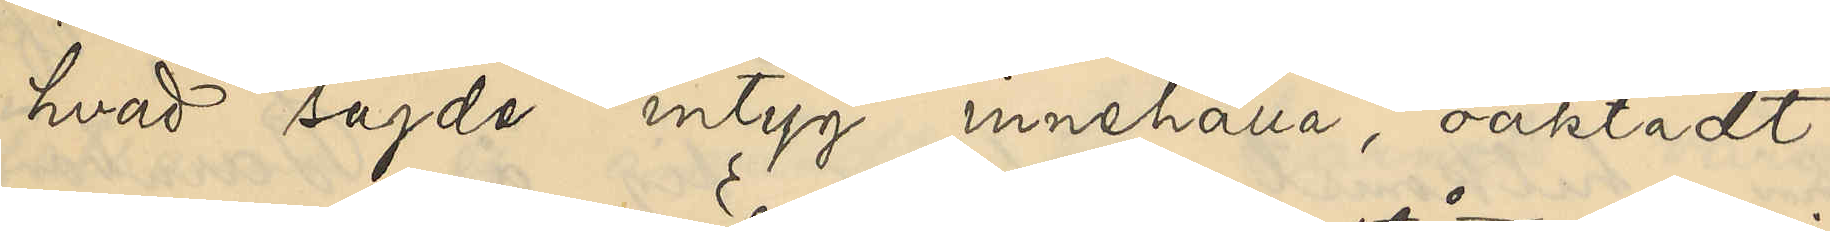hvad sagde intyg innehålla, oaktadt
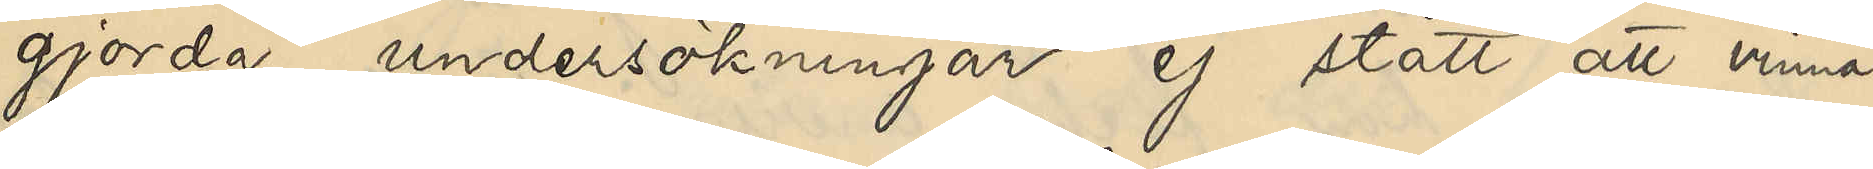gjorde undersökningar ej stått att vinna.
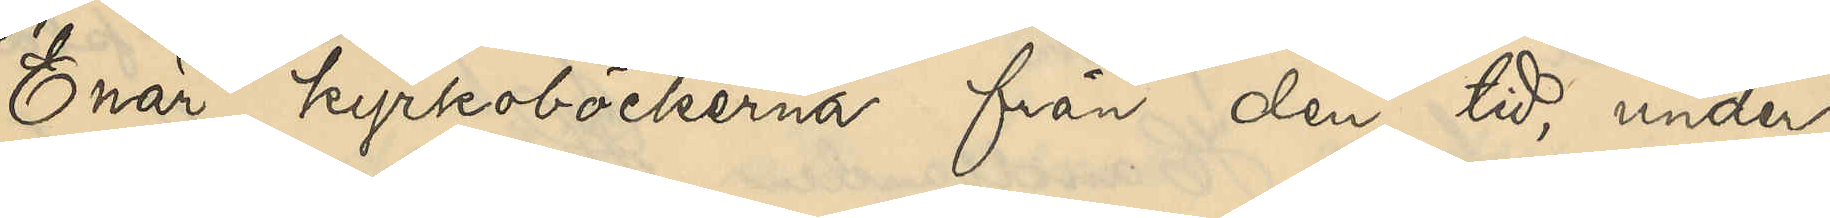Enär kyrkoböckerna från den tid, under
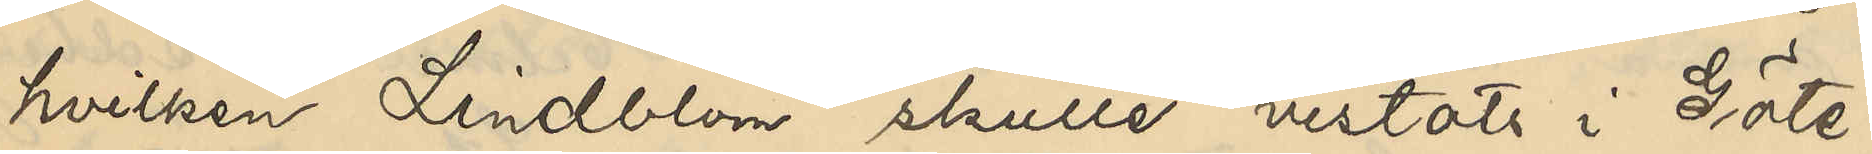hvilken Lindblom skulle vistats i Göte¬
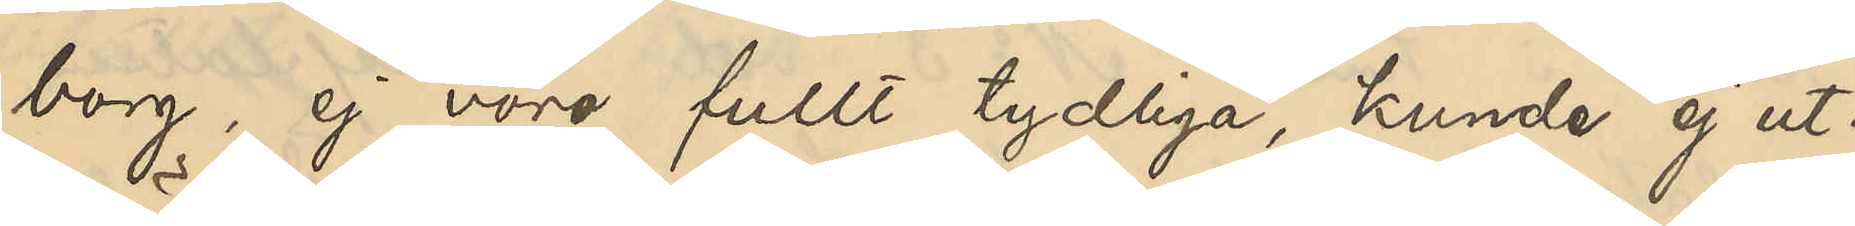borg, ej vore fullt tydliga, kunde ej ut¬
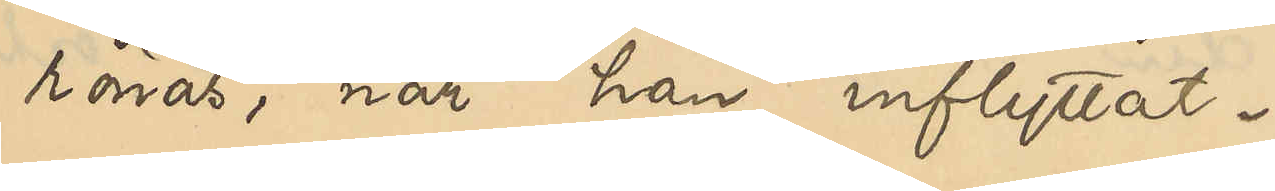rönas, när han inflyttat.
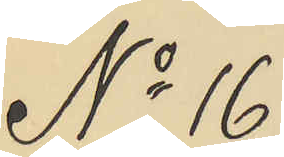No 16
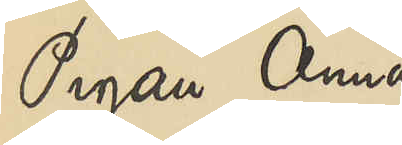Pigan Anna
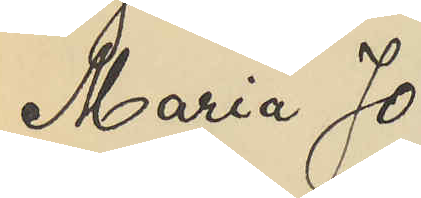Maria Jo¬
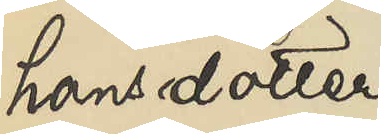hansdotter
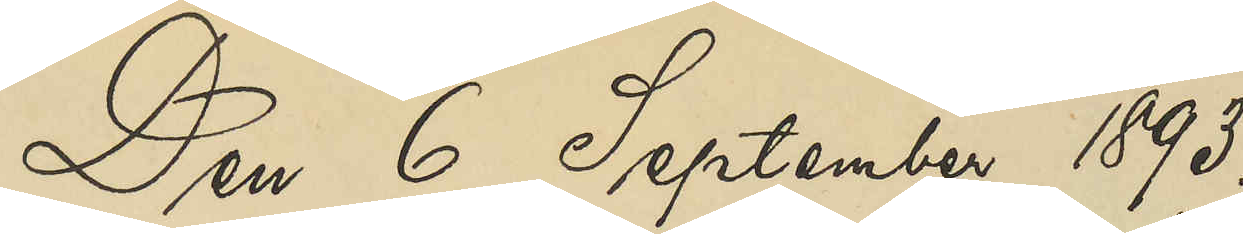Den 6 September 1893.
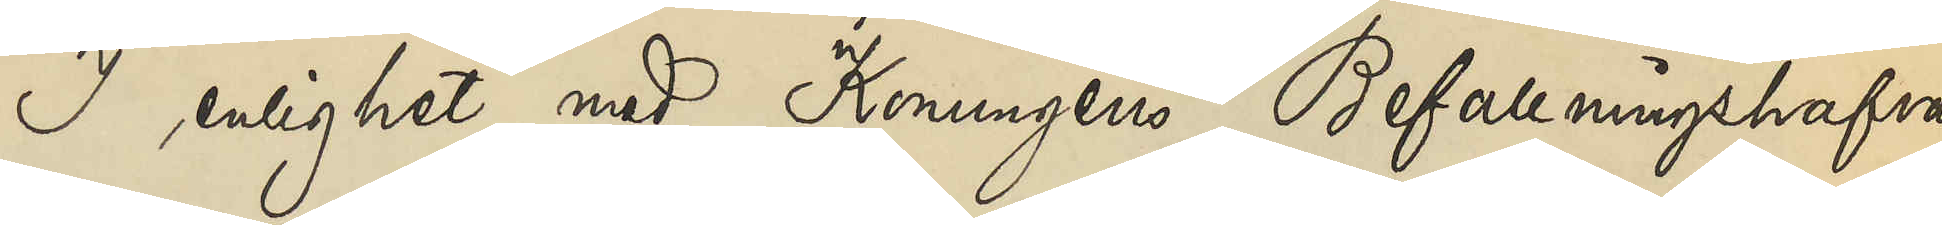I enlighet med Konungens Befallningshafvan¬
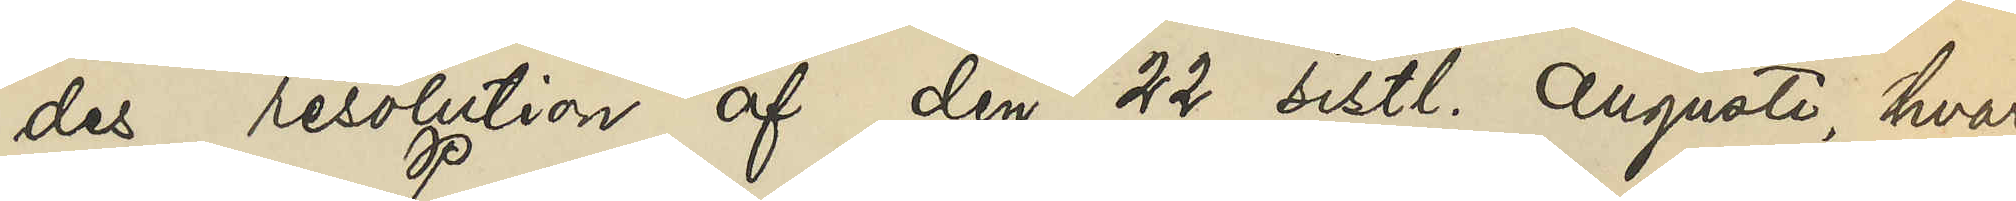des resolution af den 22 sistl. Augusti hvari¬
